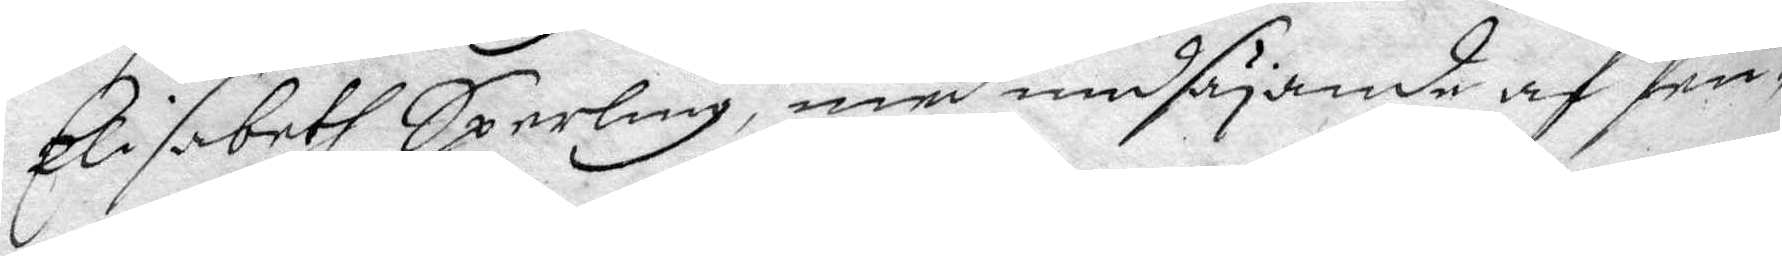Elisabeth Sperling, med undsäjande af fen¬
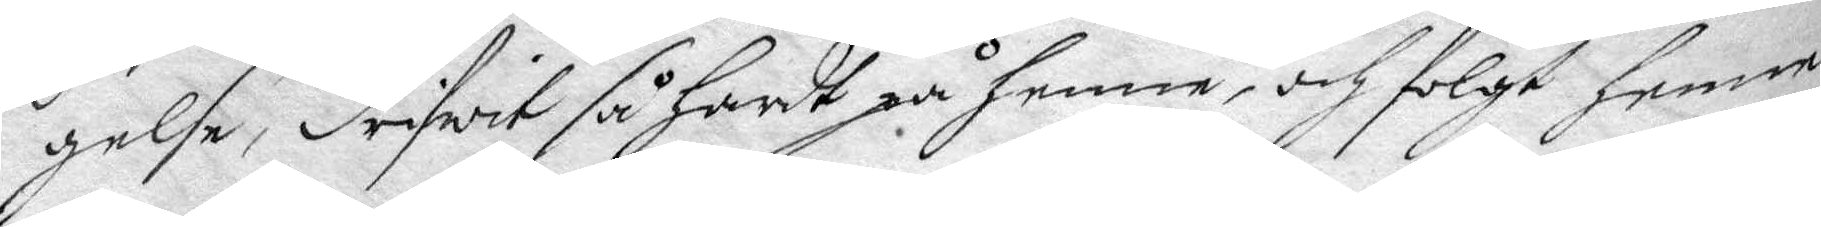gelse, drifwit så hårdt på henne, och fölgt henne
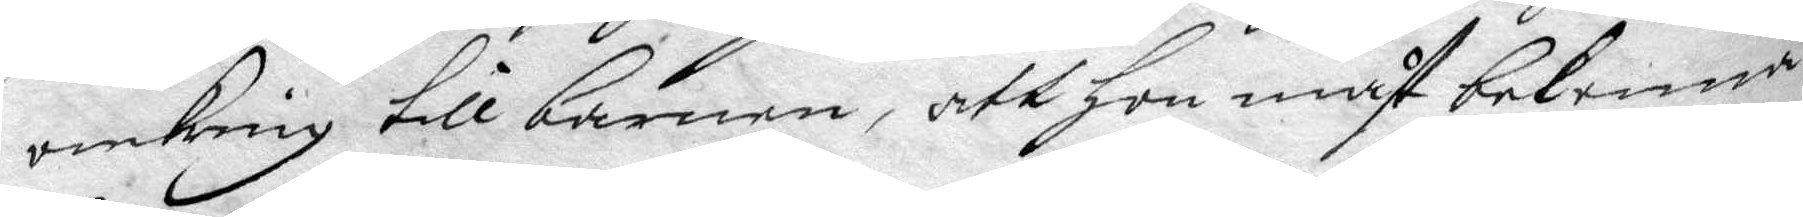omkring till barnen, att hon måst bekenna
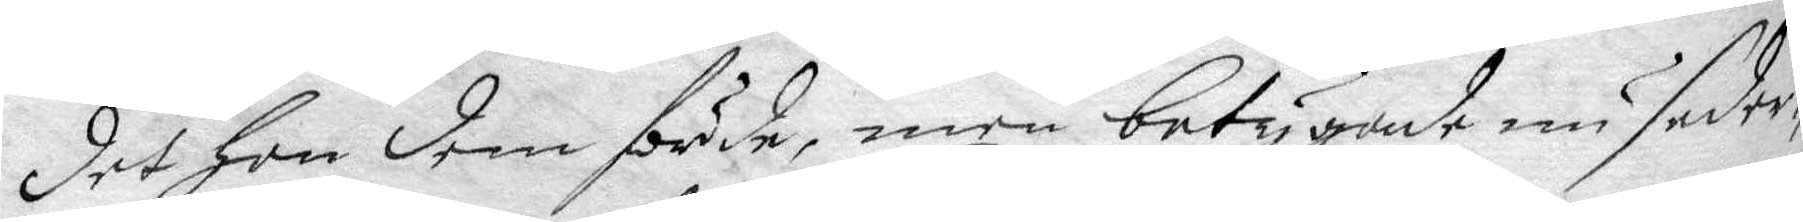det hon dem förde, men betygade nu seder¬
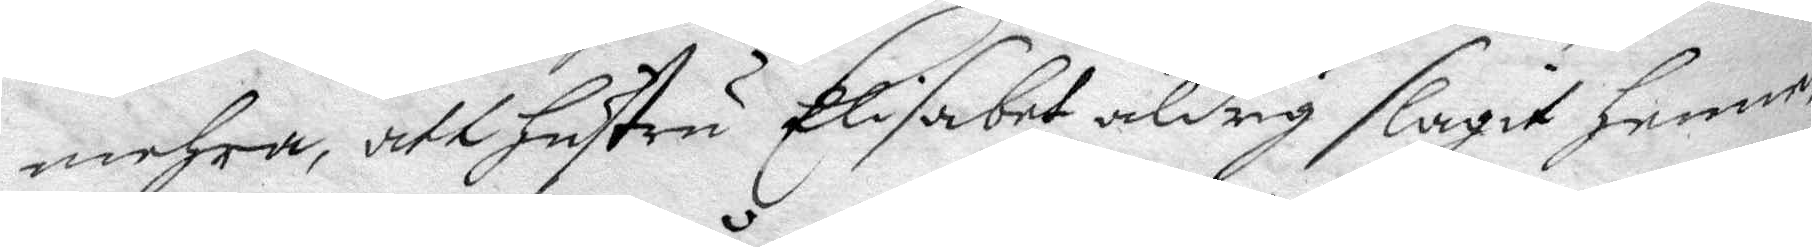mehra, att hustru Elisabet aldrig slagit henne,
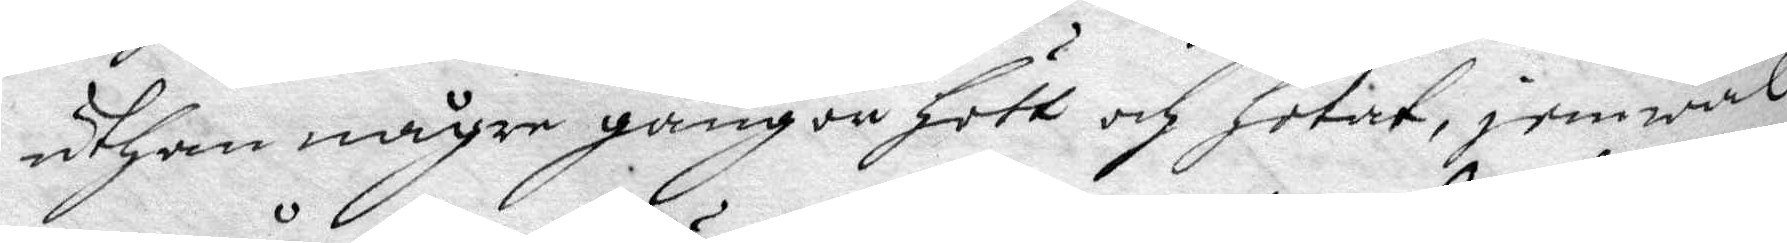uthan någre gångon hött och hotat, jemwäl
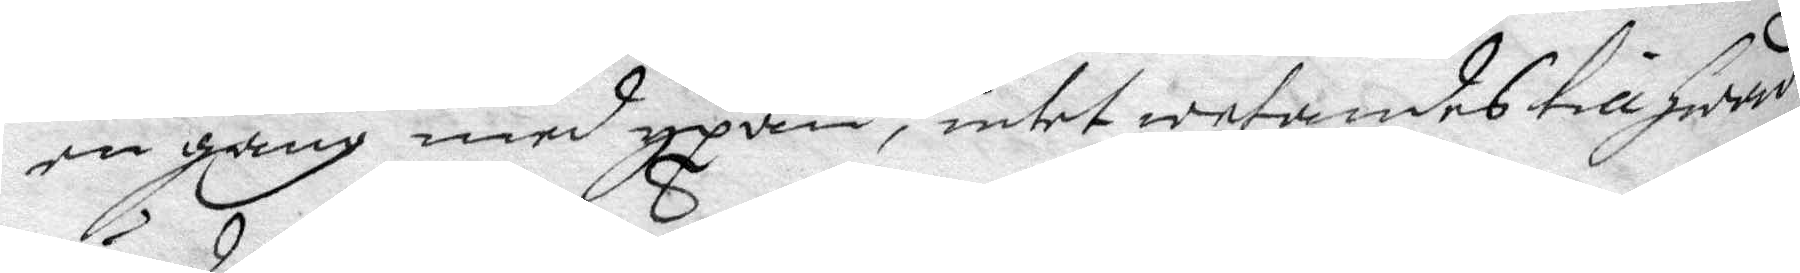en gång med yxan, intet wetandes till hwad
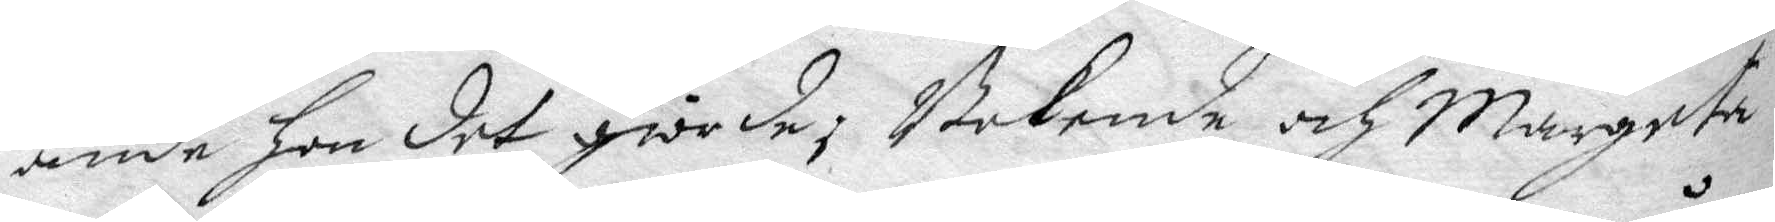ände hon det giorde, Bekende och margeta,
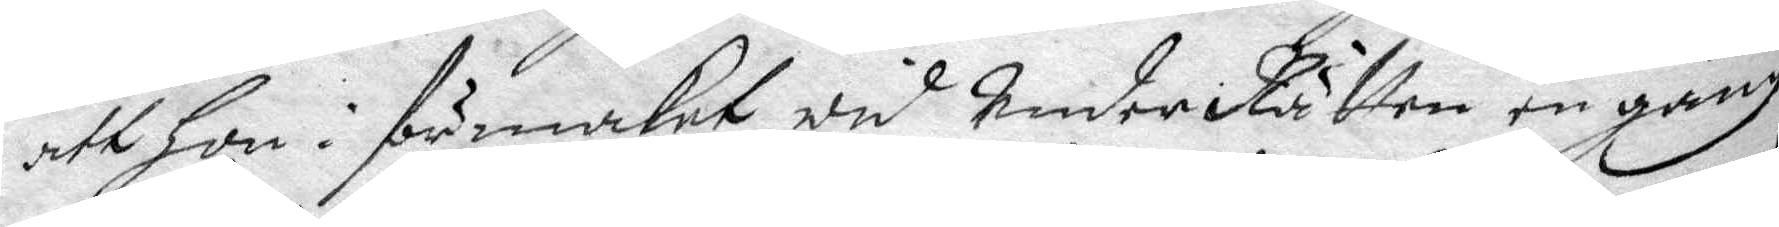att hon i förmaket wid UnderRätten en gång
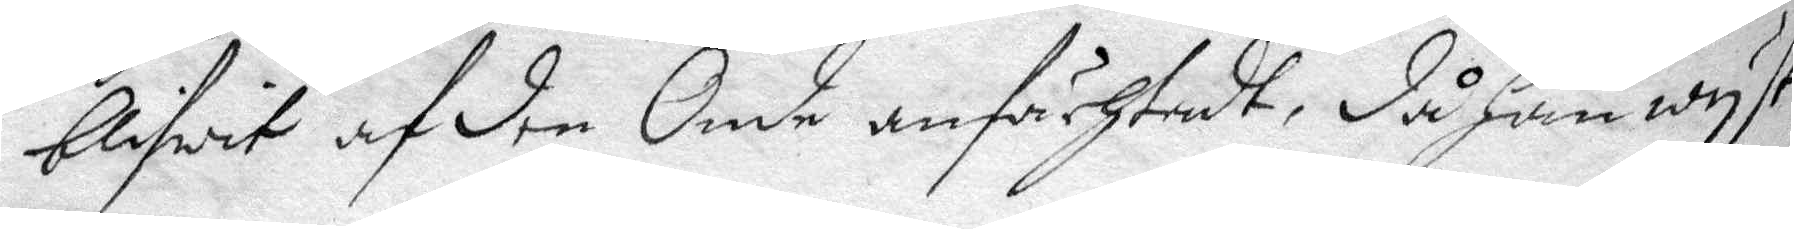blifwit af den Onde anfächtadt, då han wyst
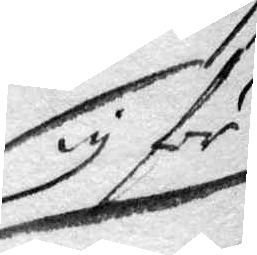sig för
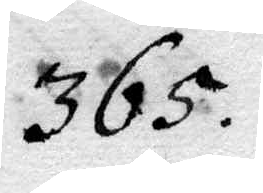365.
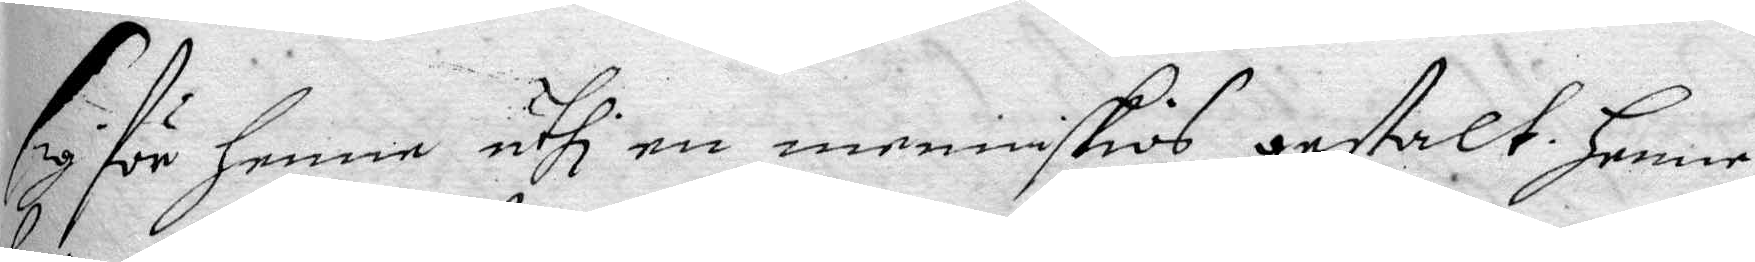sig för henne uthi en menniskios gestalt henne
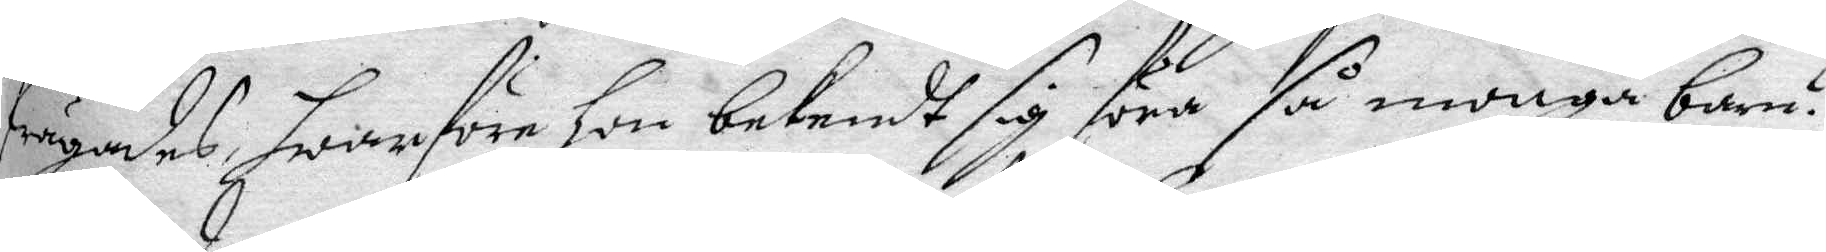frågades, hwarföre hon bekendt sig föra så monga barn?
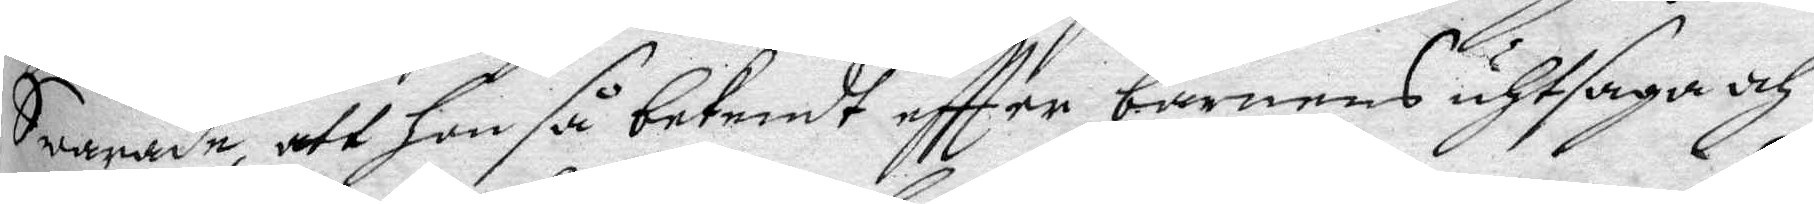Swarade, att hon så bekendt eftter barnens uthsaga och
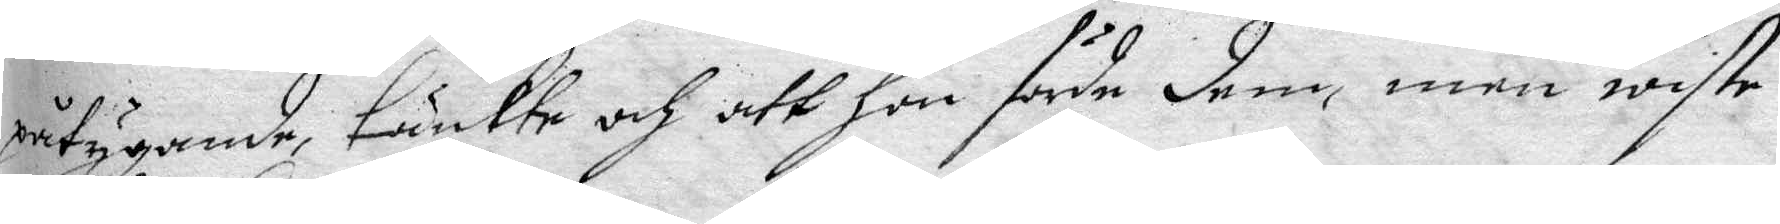påtygande, tänkte och att hon förde dem, men wiste
